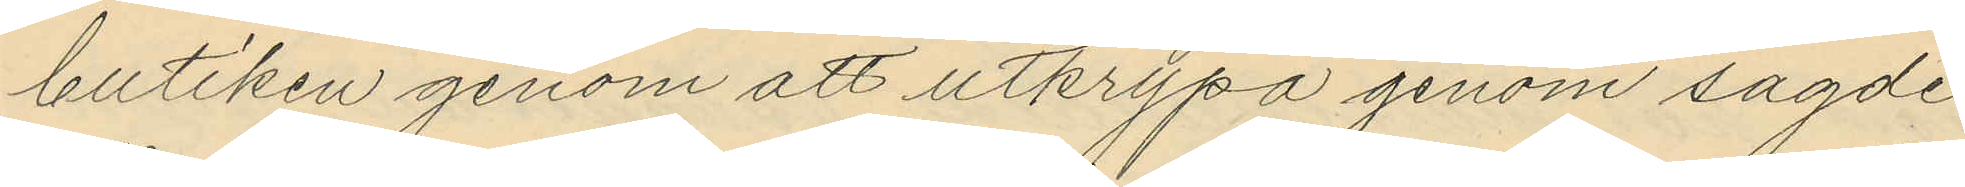butiken genom att utkrypa genom sagde
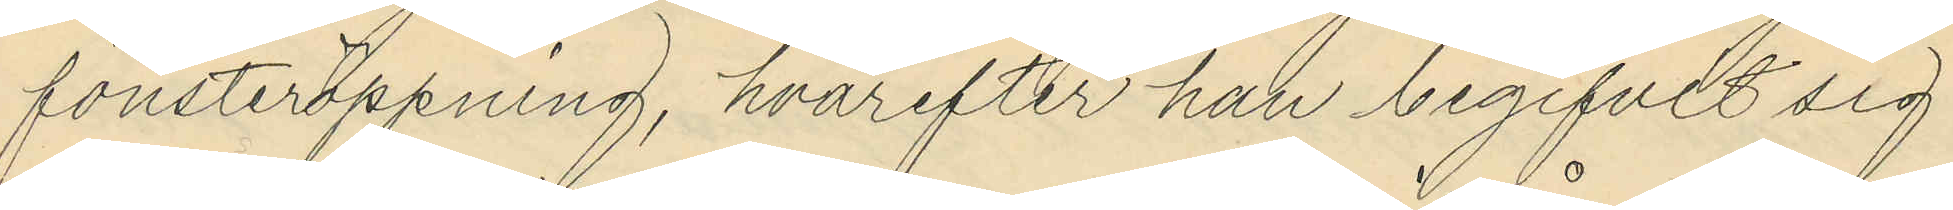fönsteröppning, hvarefter han begifvit sig
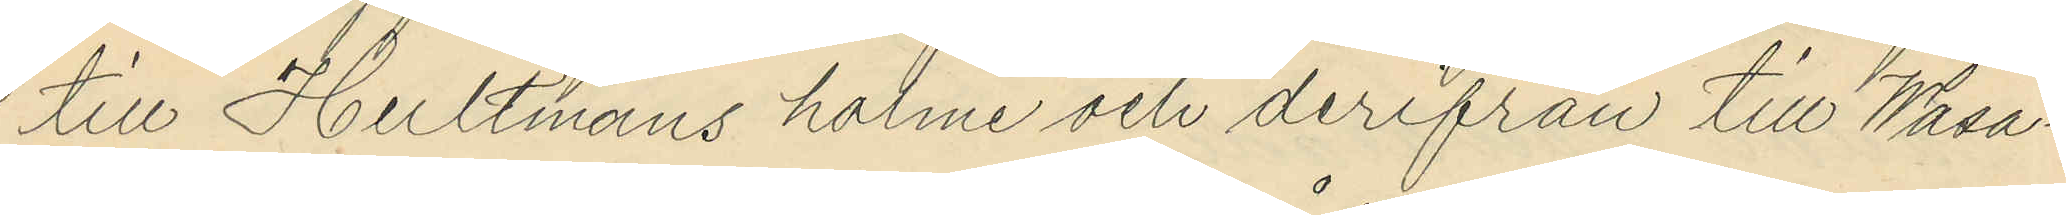till Hultmans holme och derifrån till Wasa¬
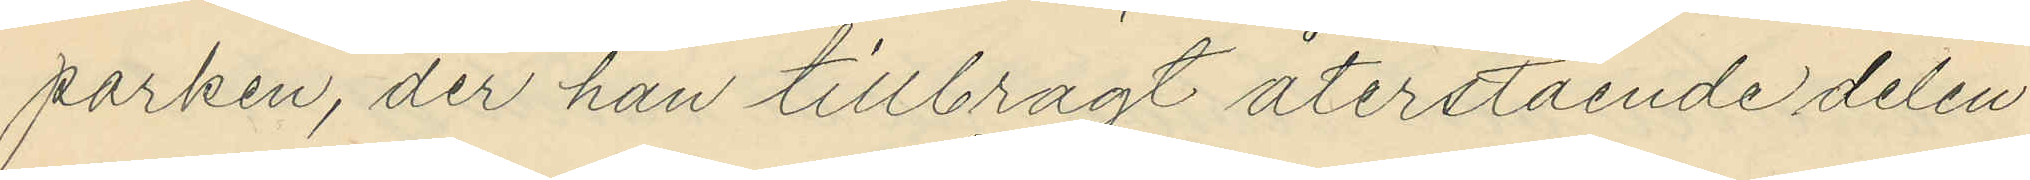parken, der han tillbragt återstående delen
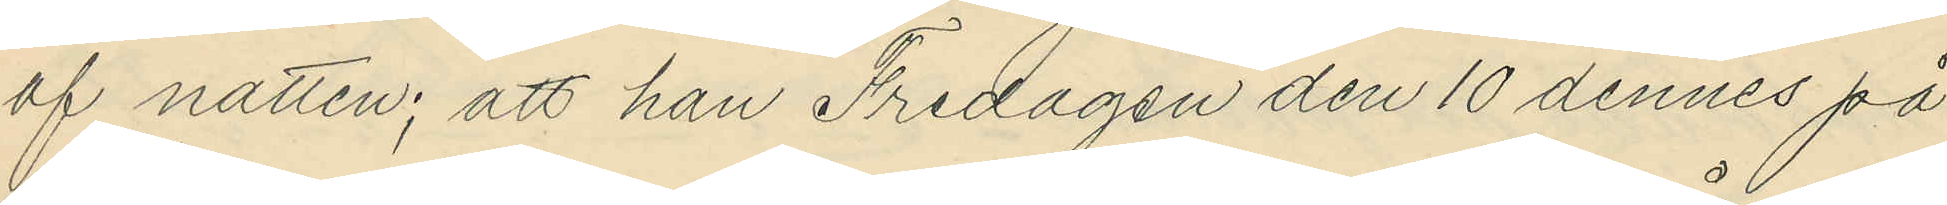af natten; att han Fredagen den 10 dennes på
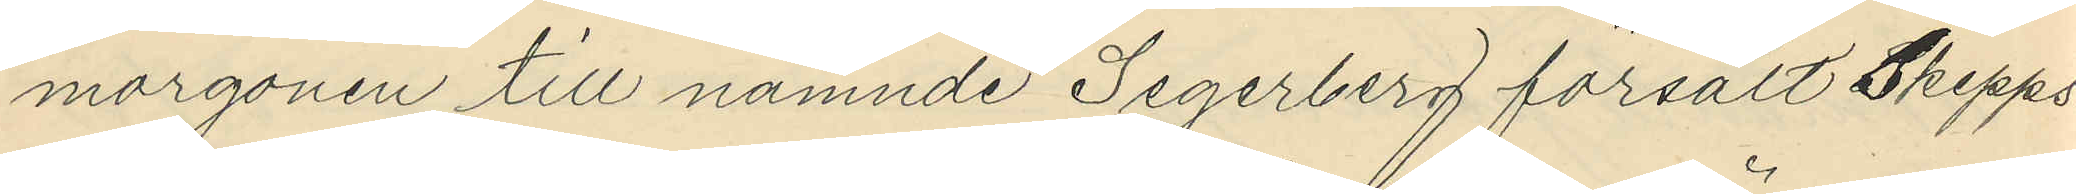morgonen till nämnde Segerberg försålt Skepps¬
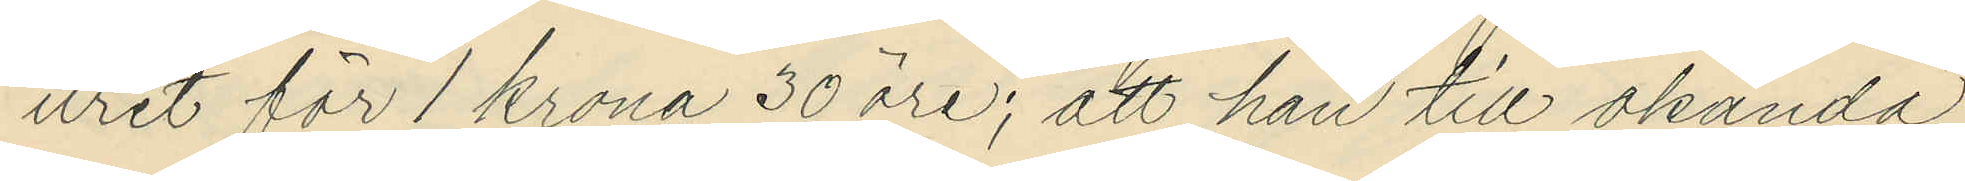uret för 1 krona 30 öre; att han till okända
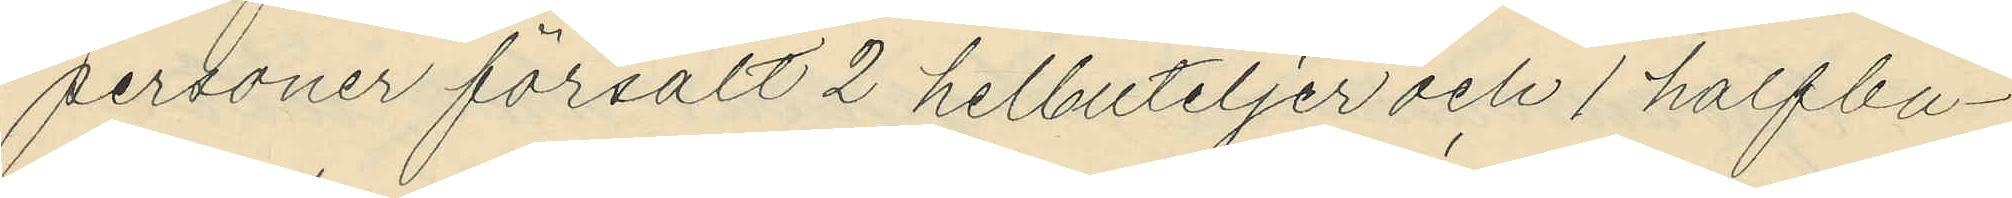personer försålt 2 helbuteljer och 1 halfbu¬
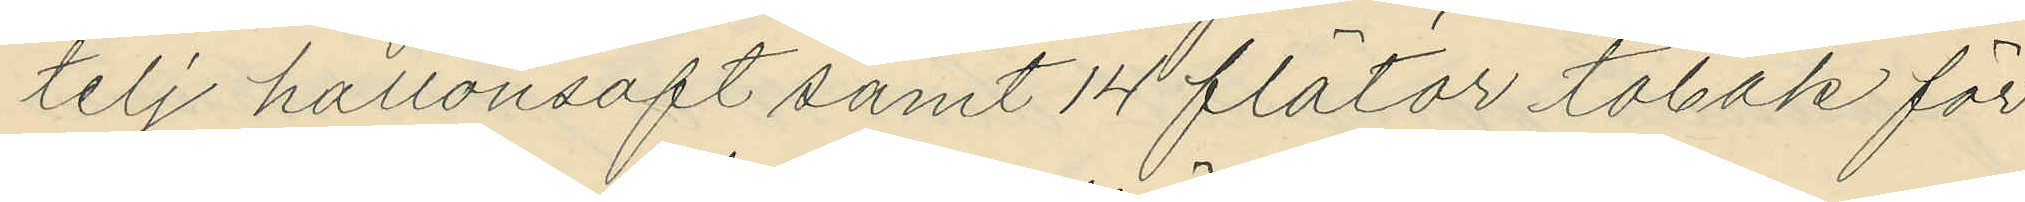telj hallonsaft samt 14 flätor tobak för
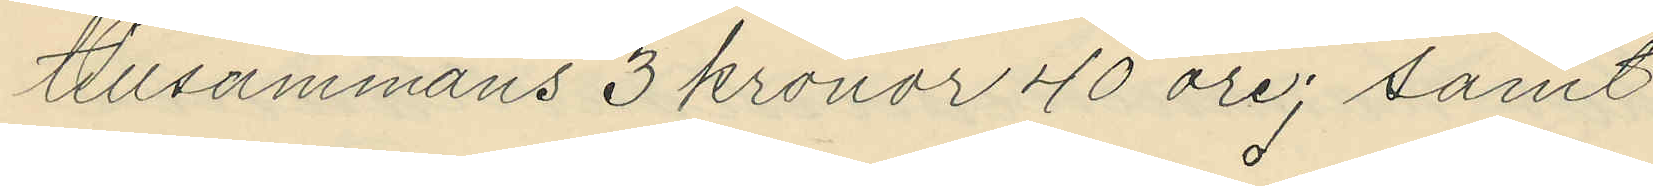tillsammans 3 kronor 40 öre; samt
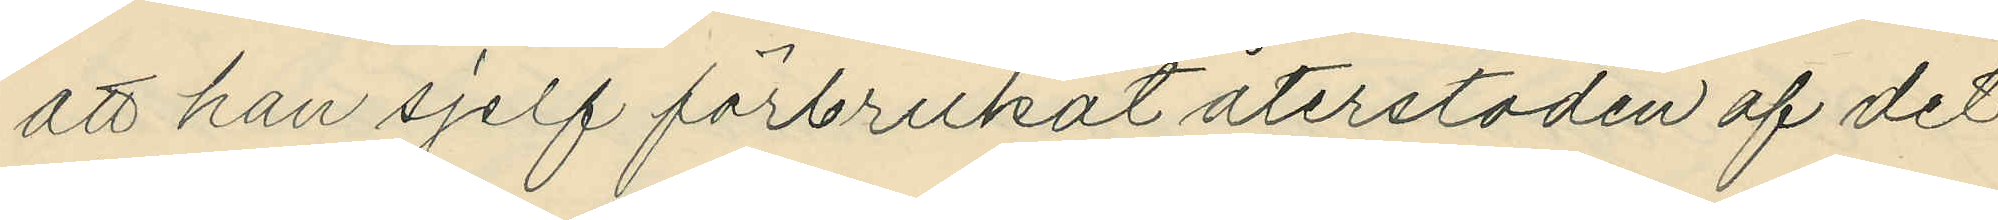att han sjelf förbrukat återstoden af det
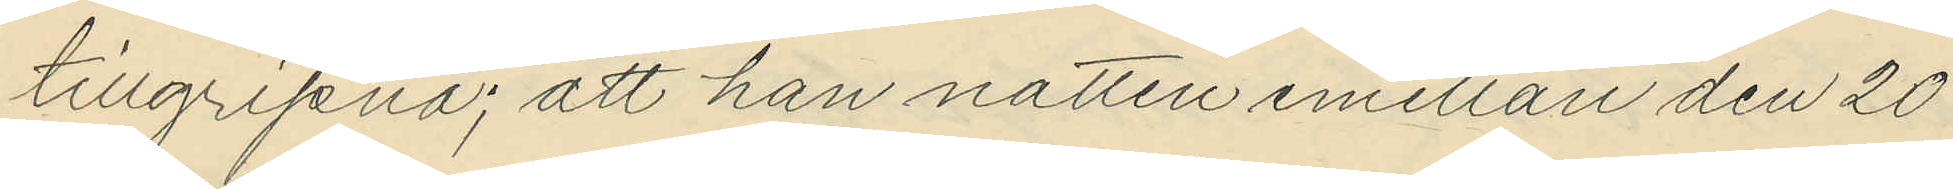tillgripna; att han natten emellan den 20
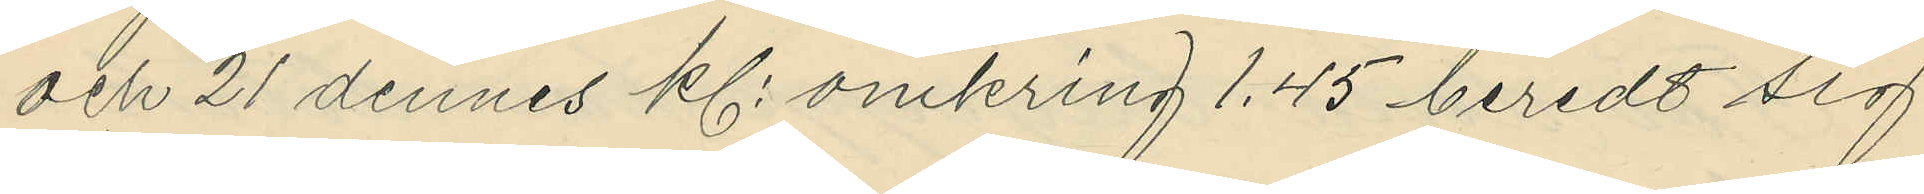och 21 dennes kl. omkring 1.45 beredt sig
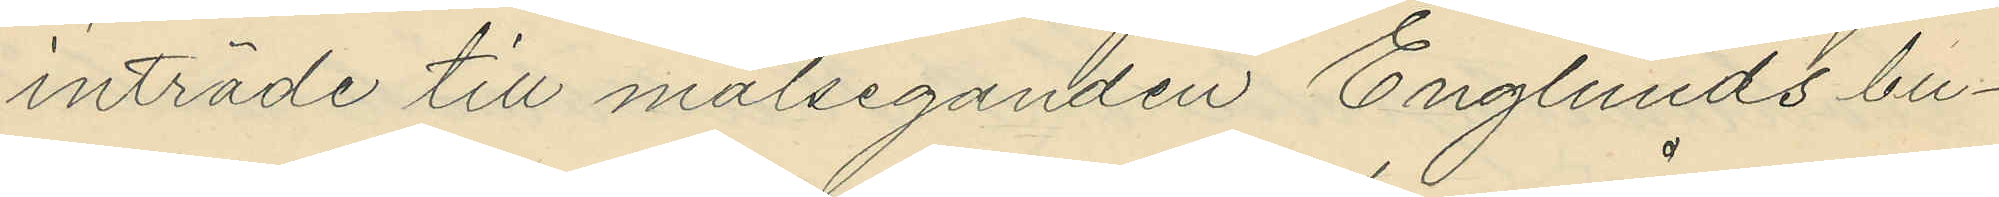inträde till målseganden Englunds bu¬
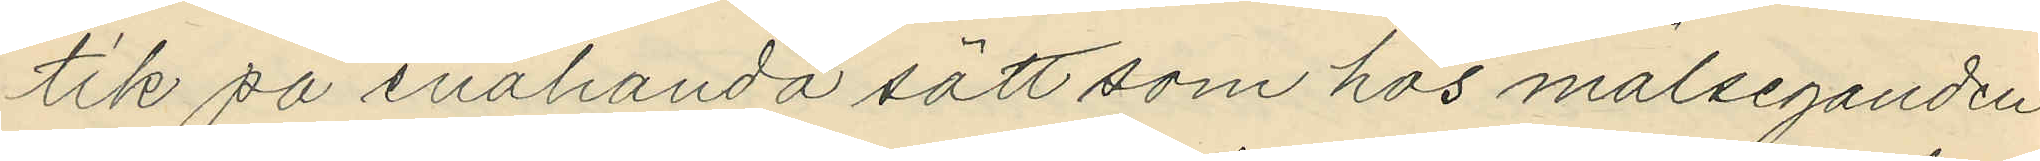tik på enahanda sätt som hos målseganden
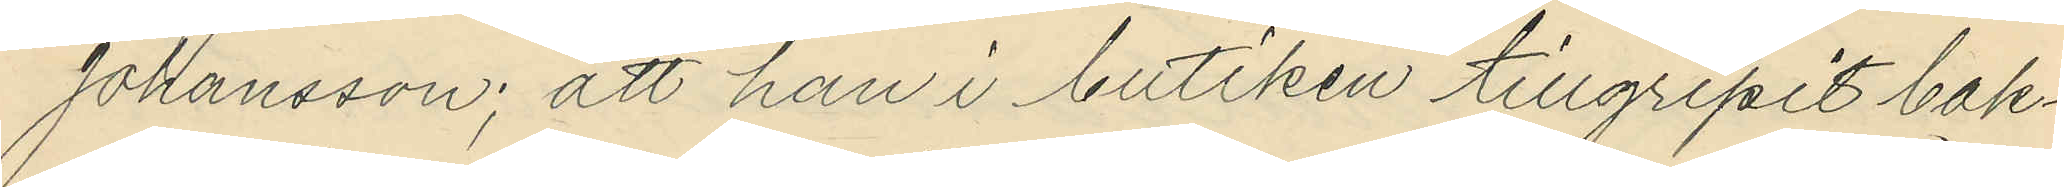Johansson; att han i butiken tillgripit bak¬
